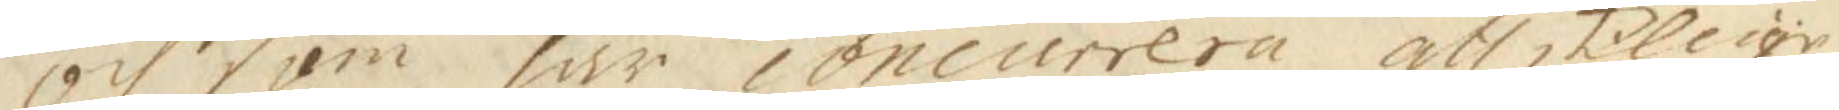Och som här concurrera åtskillige
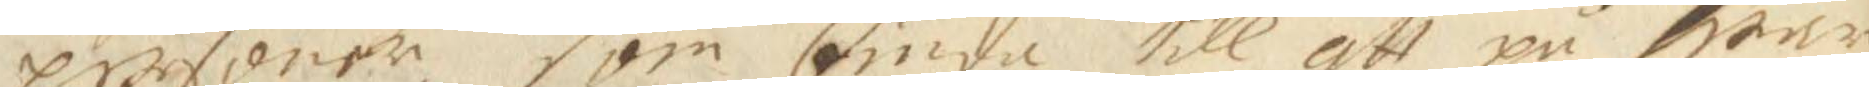personer, som biuda till att på war¬
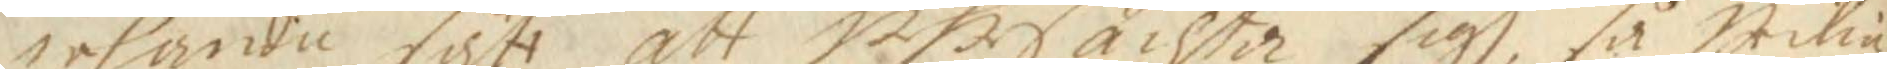jehanda sätt att uhrsächta sigh, så wilia
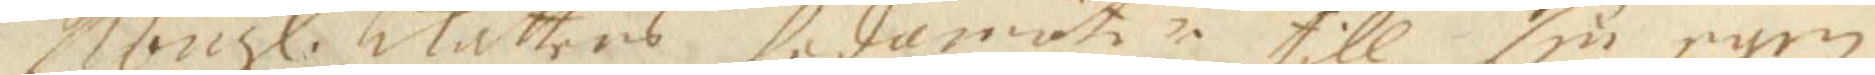Kongl. Rättens ledamöter till sin egen
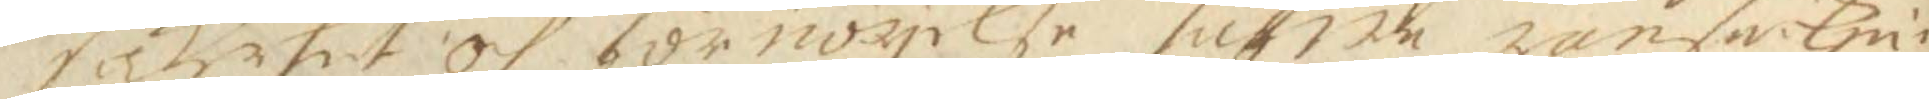säkerhet och förnöjelse sufwe ransakni¬
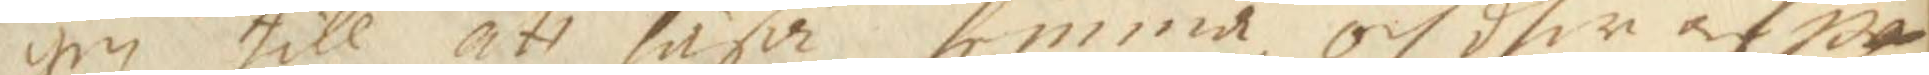gen till att läsa hemma, och dher af up¬
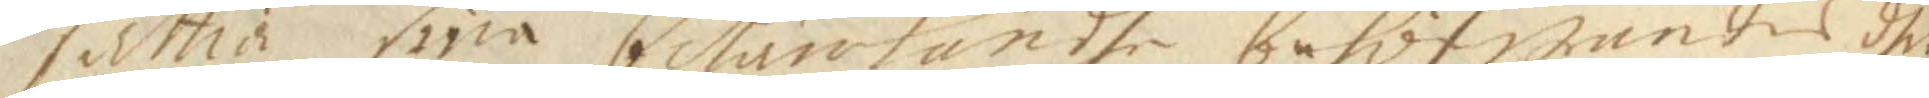sätia sina betänkande, behöfwandes dhe
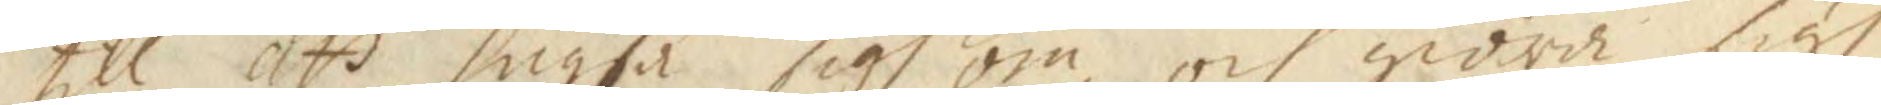till att hugsa sigh om, och giöra sigh
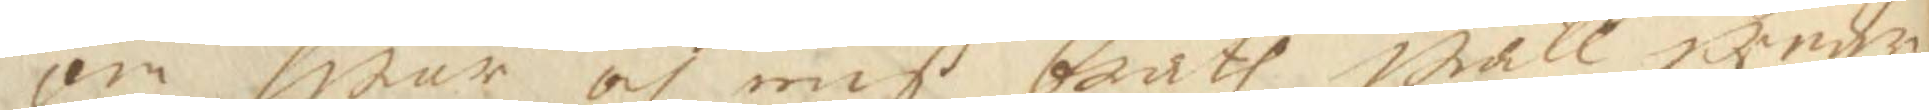om swar och mis brått wäll under¬
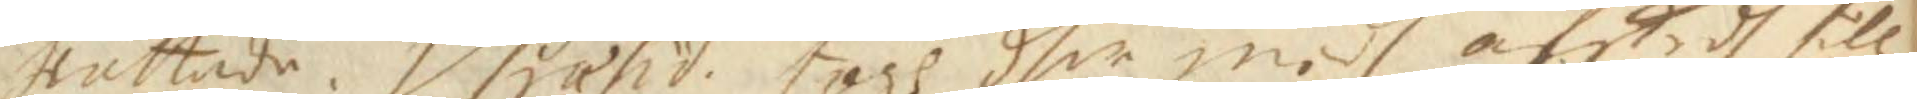rättade. Vsiasid togs dher medh afsked till
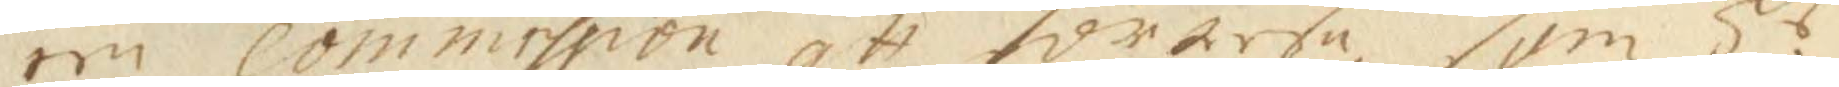een comission att för rese, som Hr.
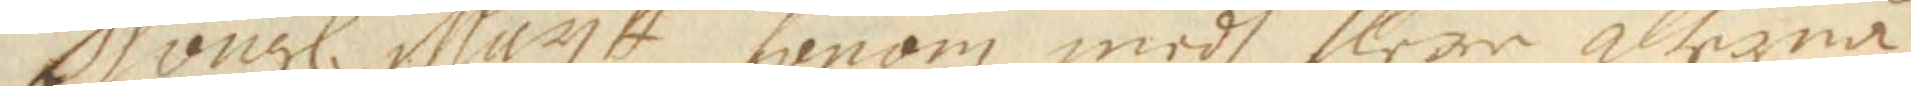Kongl. Maytt honom medh flere allernå¬
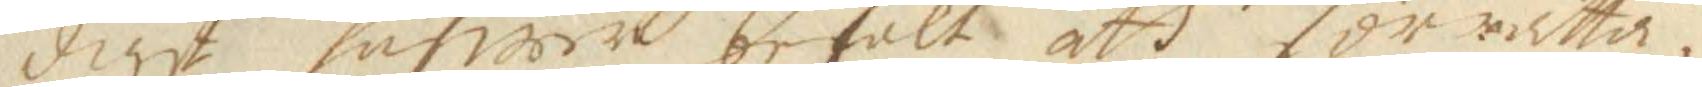digst hafwer befalt att förrätta.
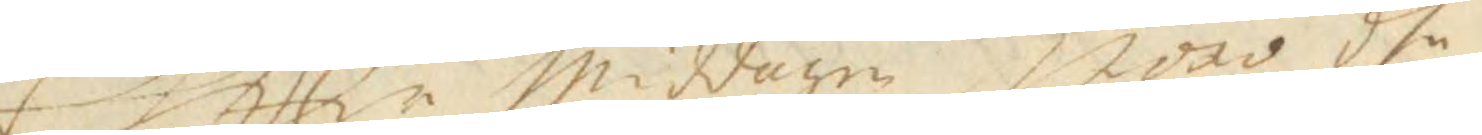Eftter middagen woro dhe
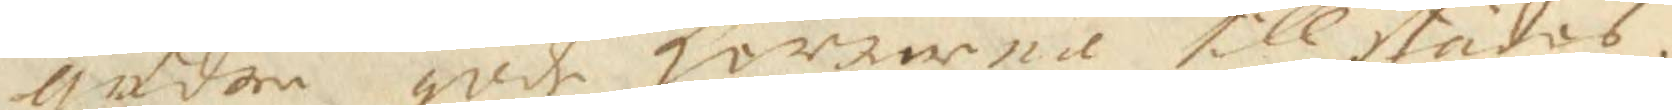andre gode herrarne tillstädes.
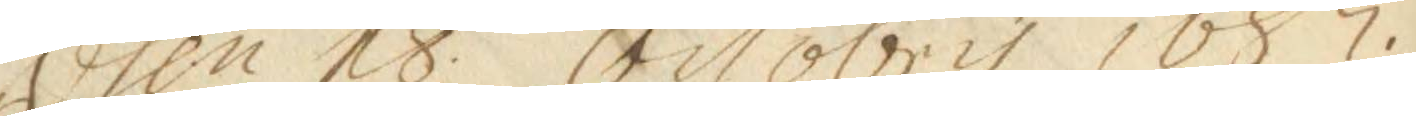dhen 18 Octobris 1687.
